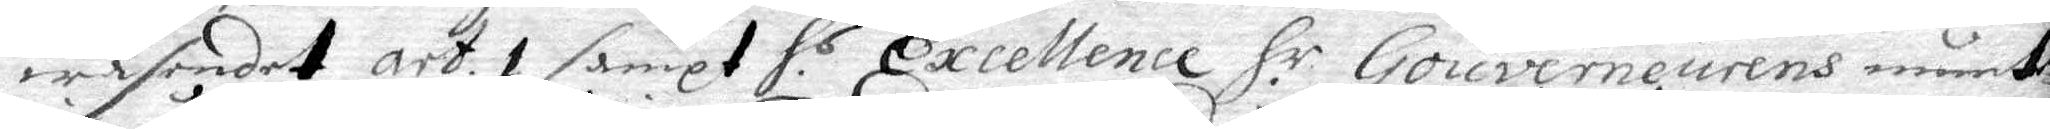wäsendet art. 1 sampt H.r Excellence H.r Gouverneurens munte¬
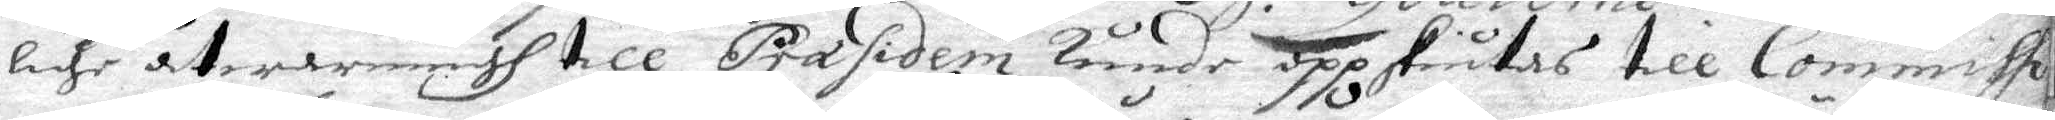lige åtwarningh till Præsidem kunde uppskiutas till Commissi¬
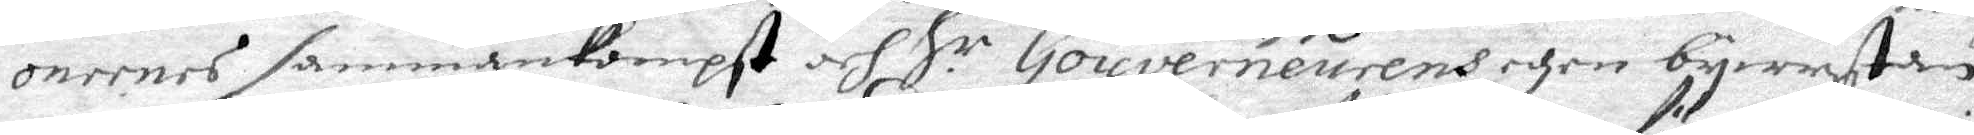onernes sammankompst och H.r Gouverneurens egen bewystan,
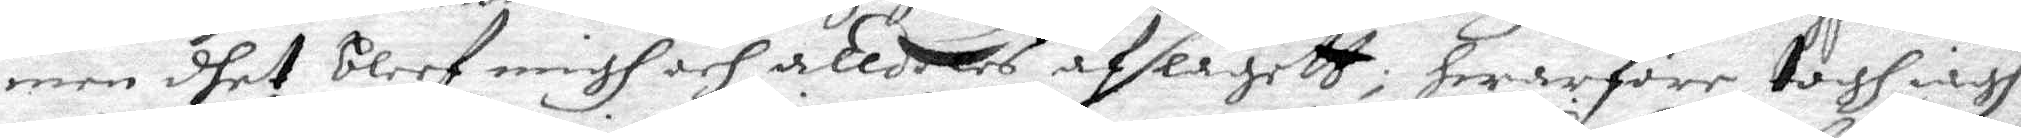men dhet bleef migh och alldeles afslagett; Hwarföre togh iagh
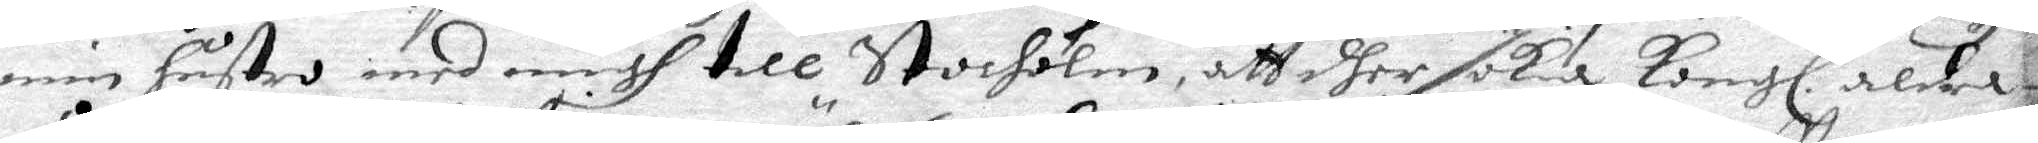min hustro med migh till Stocholm, att dher söka Kongl. aldra
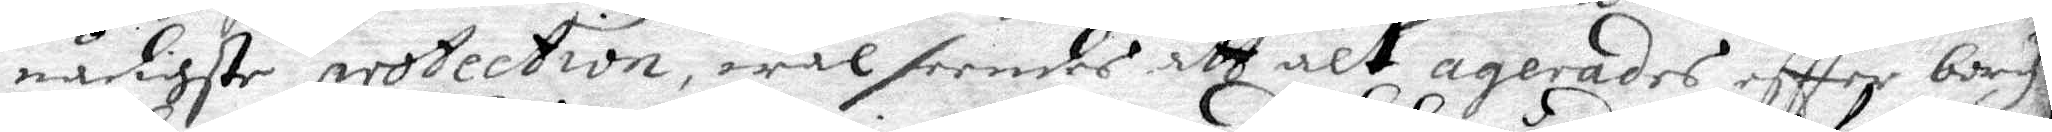nådigste protection, wäl seendes att alt agerandes eftter borg.
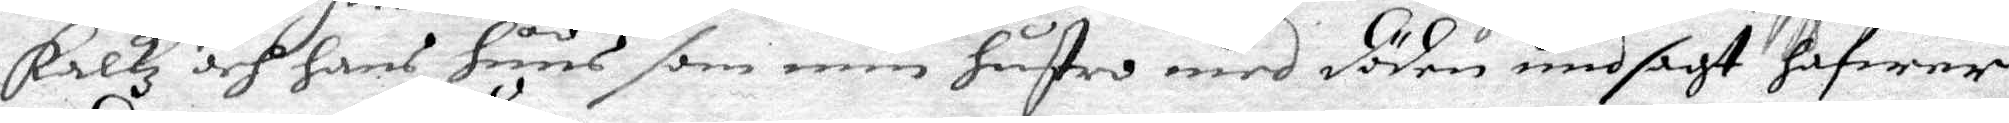Falkz och hans huus som min hustro med döden undsagt hafwer,
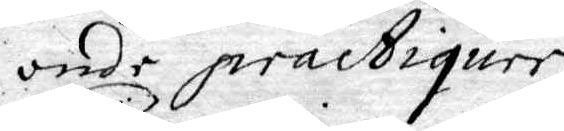onde practiquer.
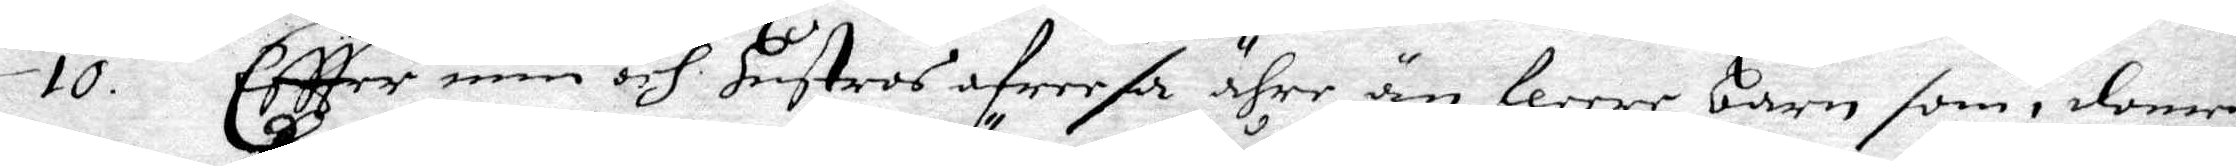10. Eftter min och hustros afreesa ähre än fleere barn som i domen
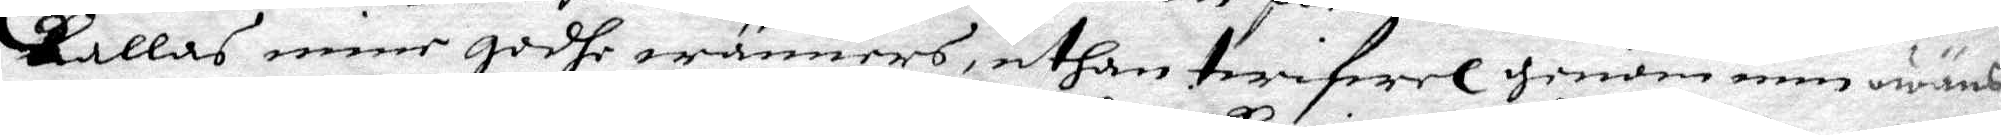kallas mine godhe wänners, uthan twifwel genom min owäns
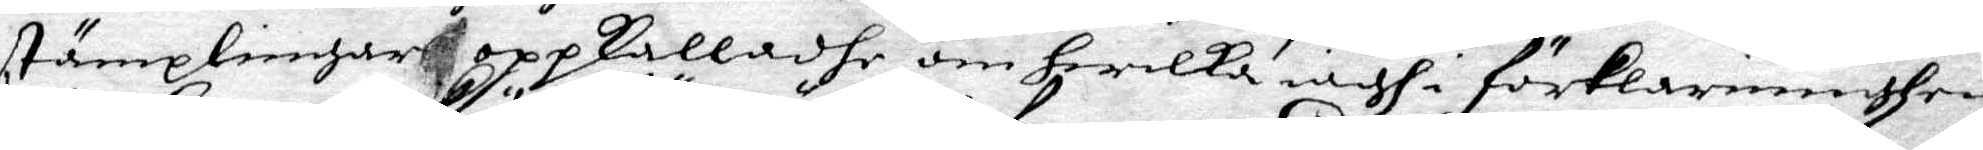stämplingar oppkalladhe om hwilka iagh i förklaringhen
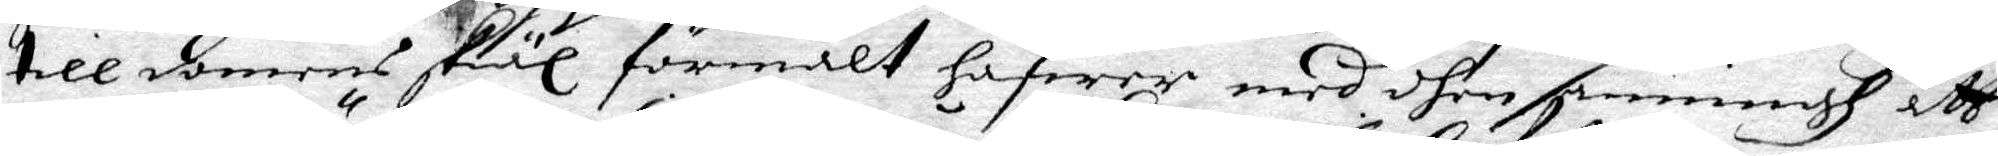till domens skiäl förmält hafwer med dhen sanningh att
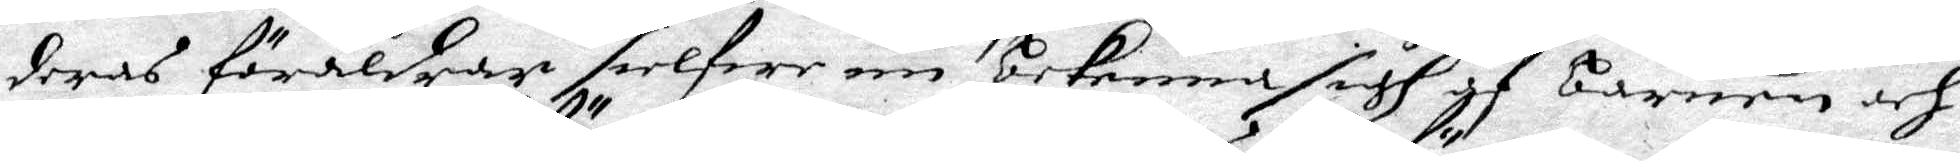deras föräldrar sielfwa nu bekenna sigh af barnen och
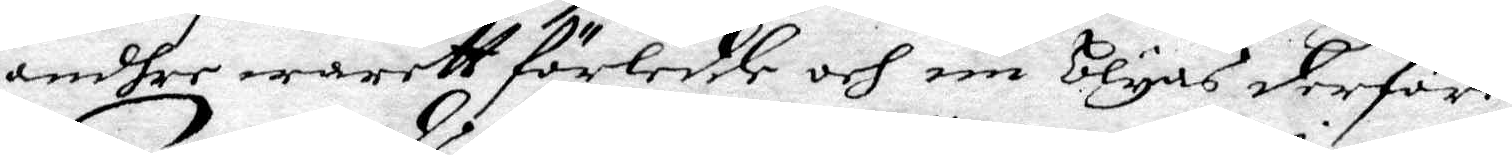ondher waritt förledde och nu blygas derföre.
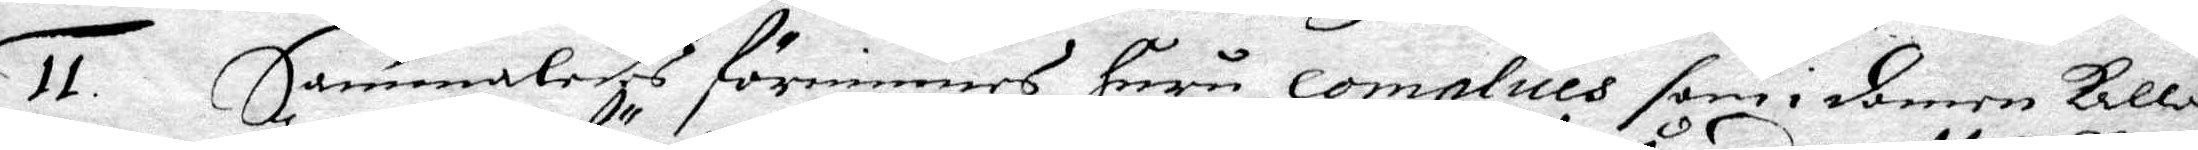11. Sammaledes förnimmes huru complices som i domen kallas
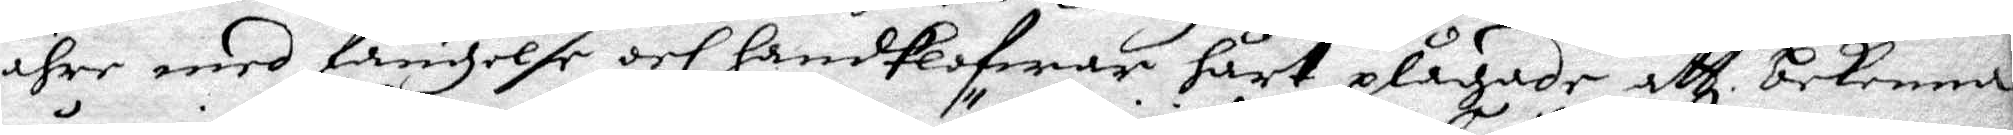ähre med fängelse och handklofwar hårt plågade att bekenna
